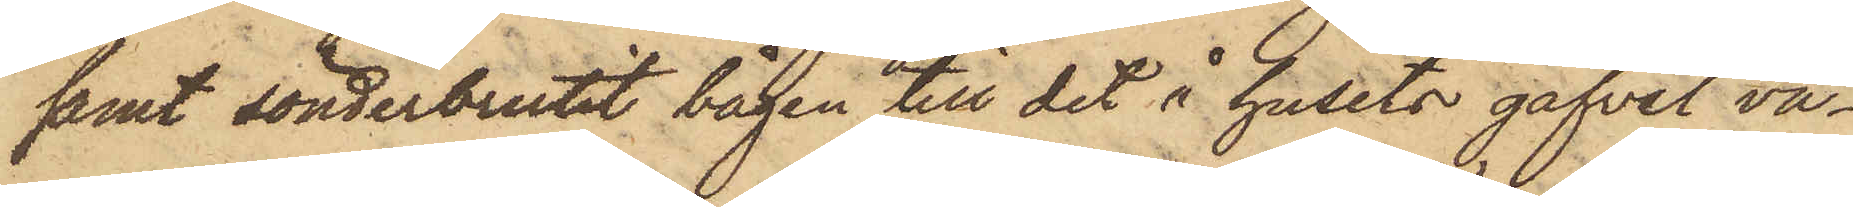samt sönderbrutit bågen till det i husets gafvel va¬
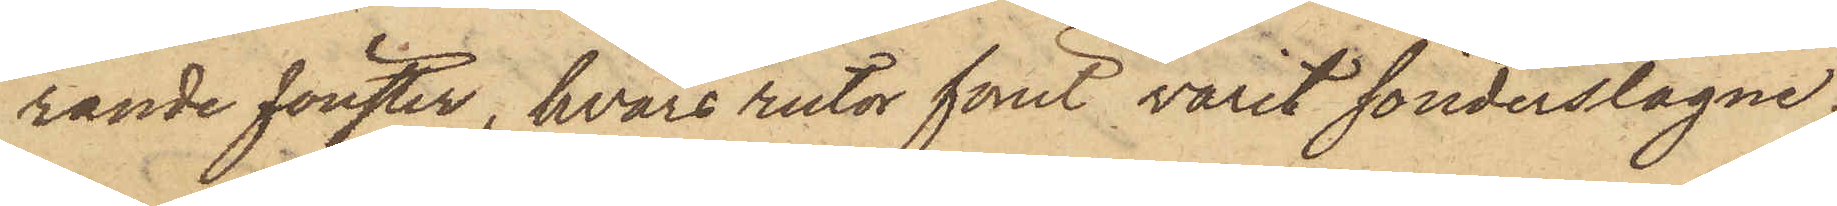rande fönster, hvars rutor förut varit sönderslagne;
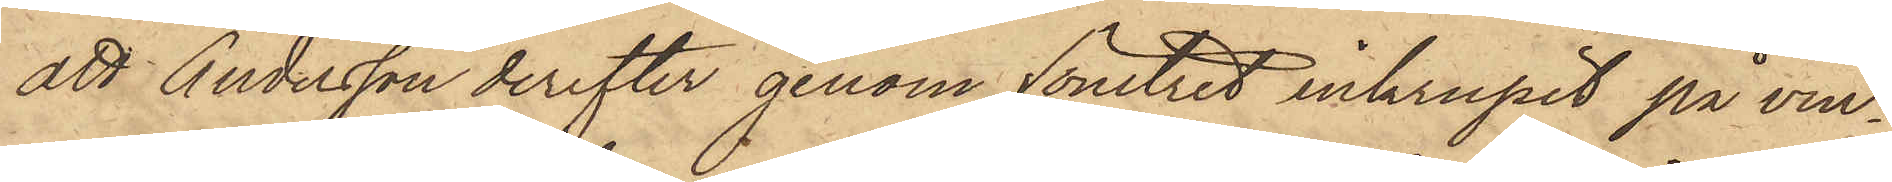att Andersson derefter genom fönstret inkrupit på vin¬
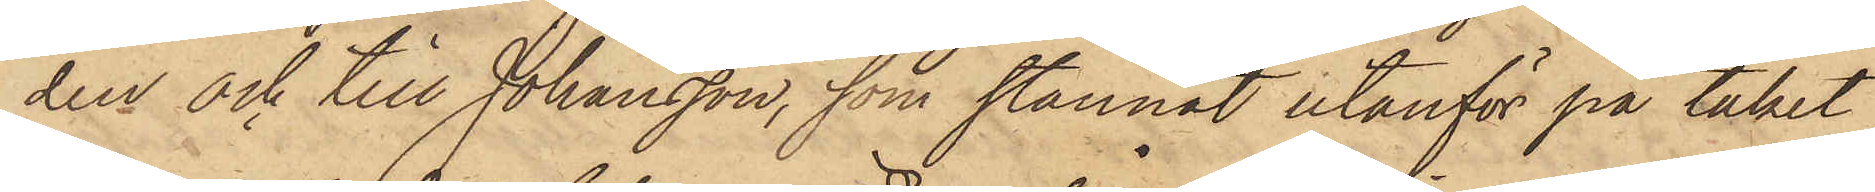den och till Johansson, som stannat utanför på taket,
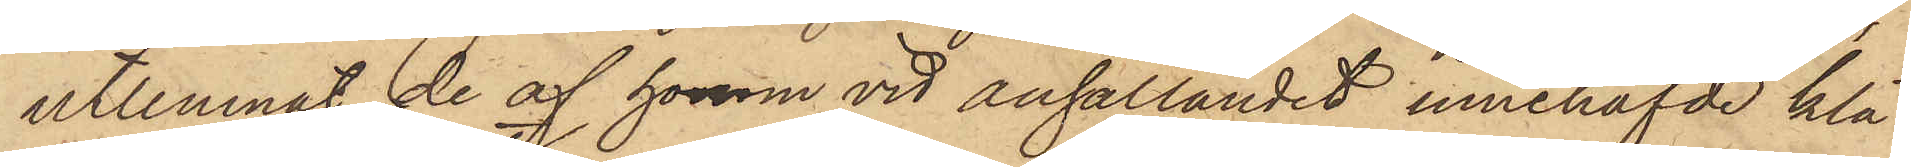utlemnat de af honom vid anhållandet innehafvde klä¬
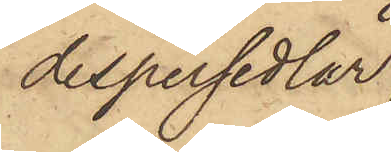despersedlar
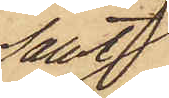samt
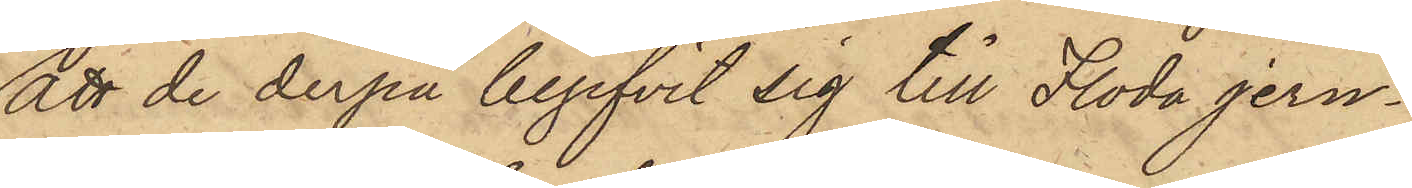att de derpå begifvit sig till Floda jern¬
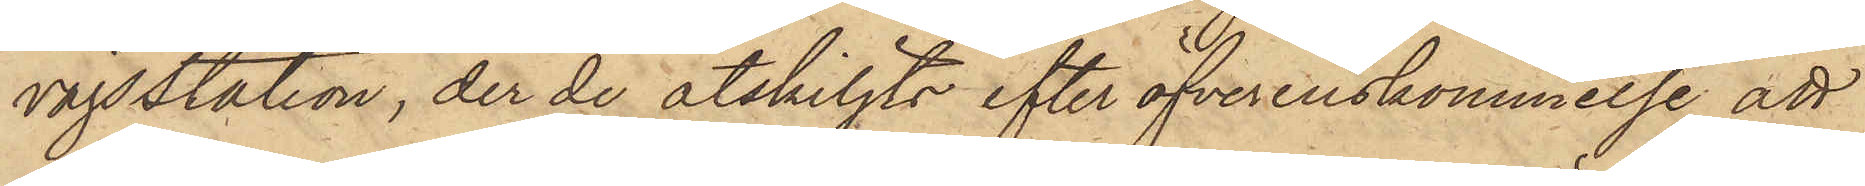vägsstation, der de åtskiljts efter öfverenskommelse att
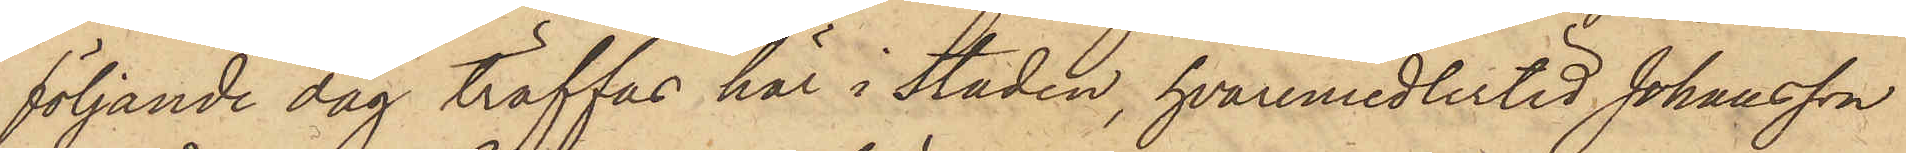följande dag träffas här i staden, hvaremedlertid Johansson
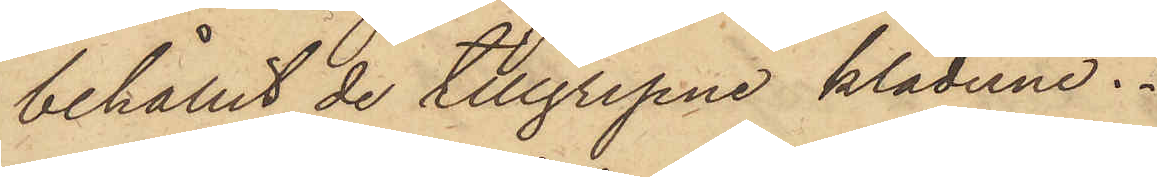behållit de tillgripne kläderne.
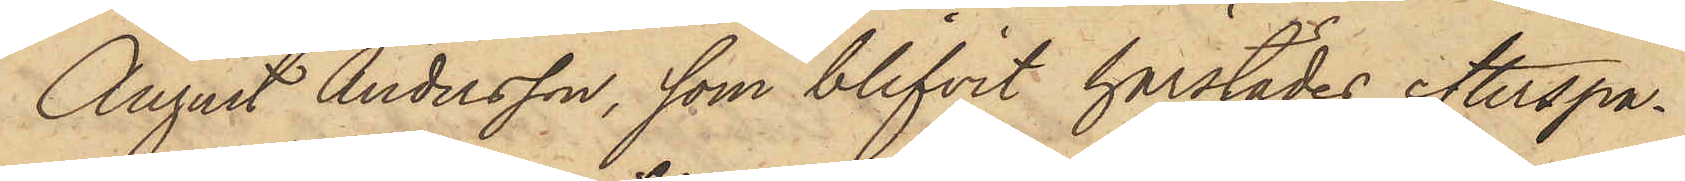August Andersson, som blifvit härstädes efterspa¬
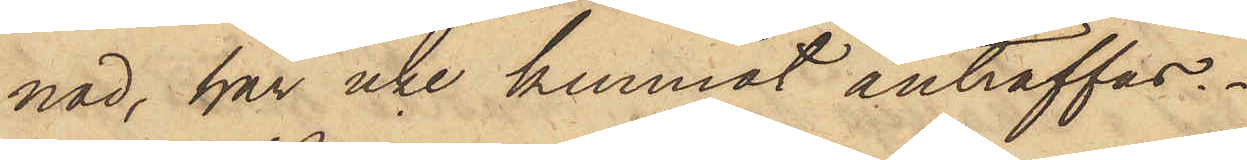nad, har icke kunnat anträffas.
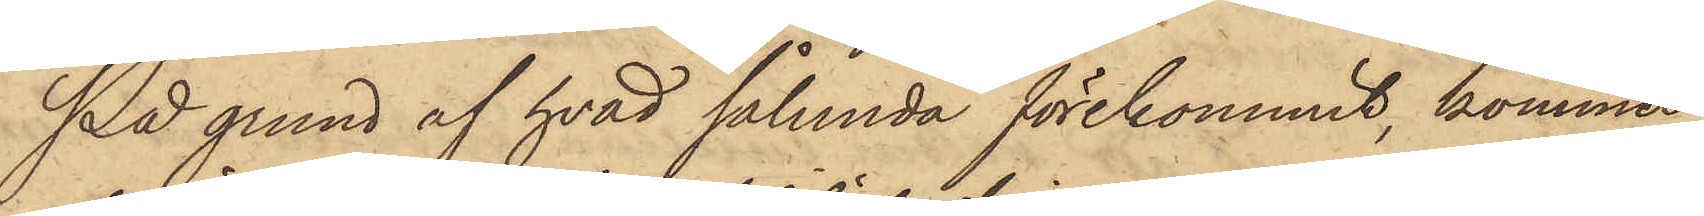På grund af hvad sålunda förekommit, kommer
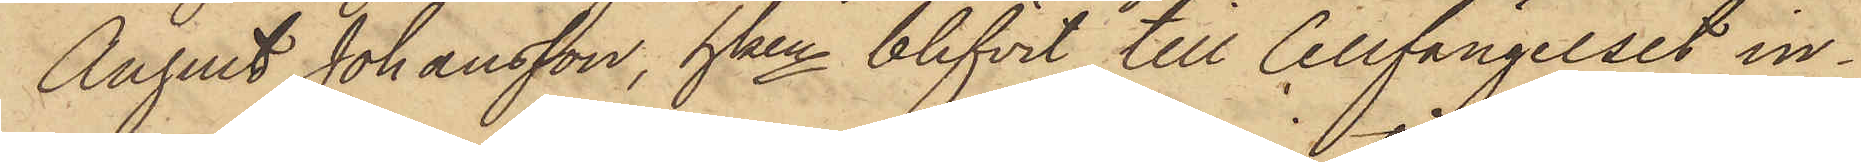August Johansson, hken blifvit till Cellfängelset in¬
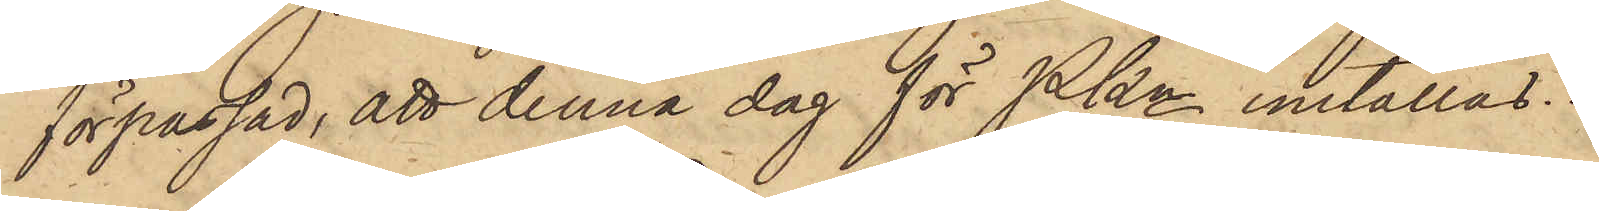förpassad, att denna dag för PKn inställas.
